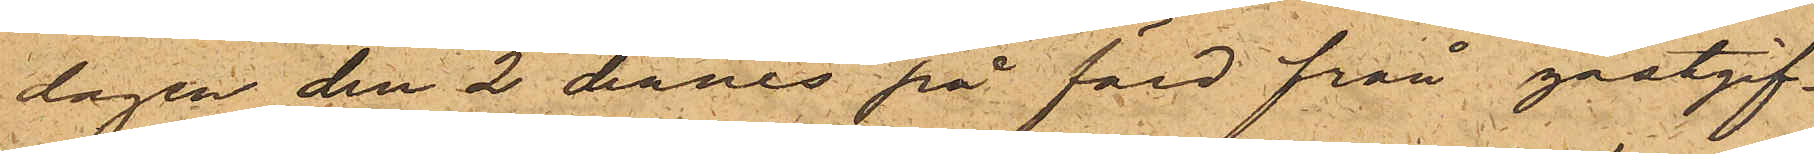dagen den 2 dennes på färd från gästgif¬
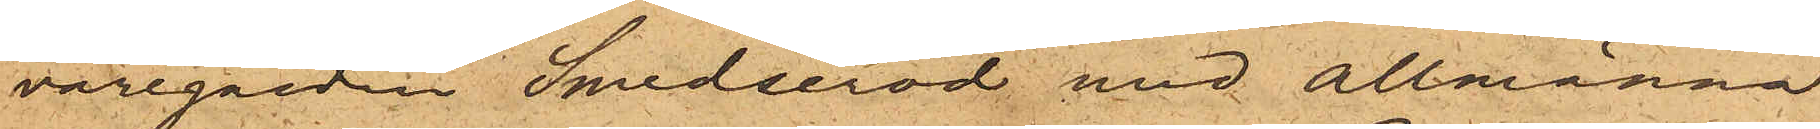varegården Smederöd med allmänna
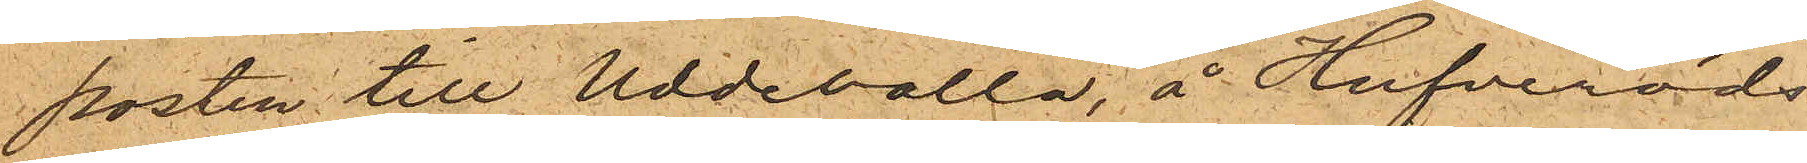posten till Uddevalla, å Hufveröds
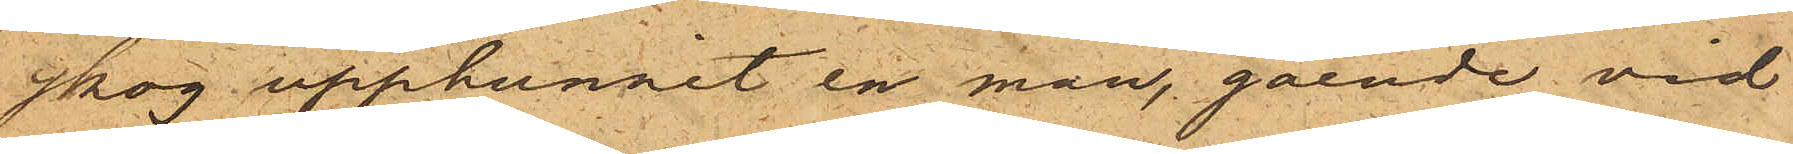skog upphunnit en man, gående vid
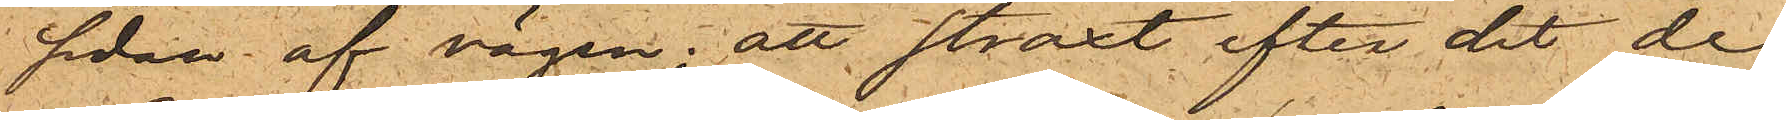sidan af vägen; att straxt efter det de
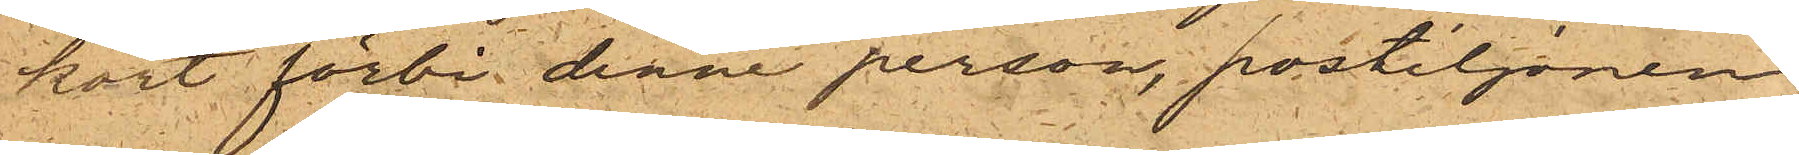kört förbi denne person, postiljonen
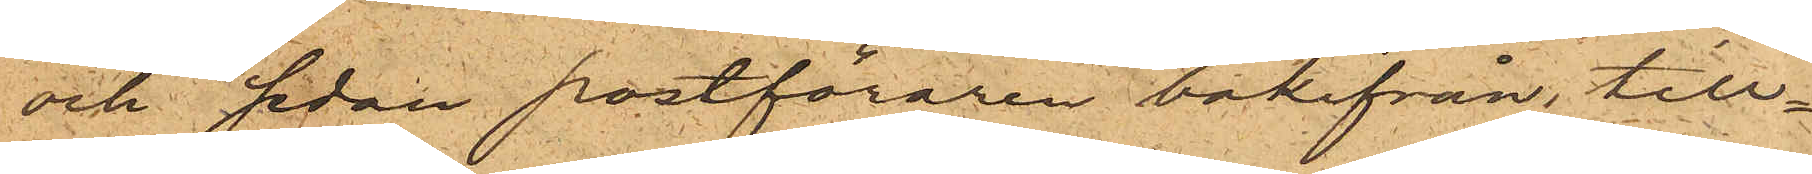och sedan postföraren bakifrån, till¬
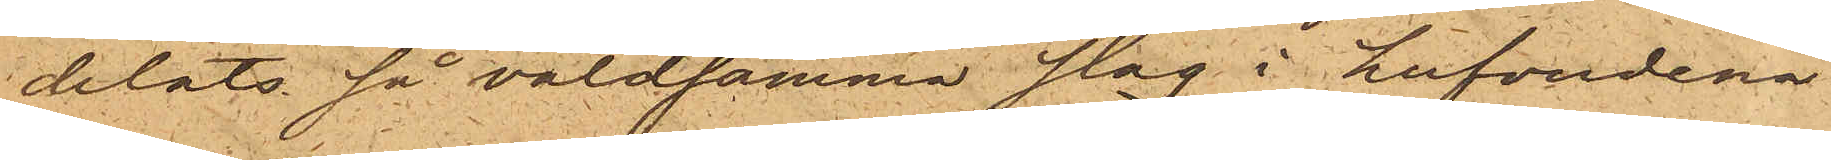delats så våldsamma slag i hufvudena
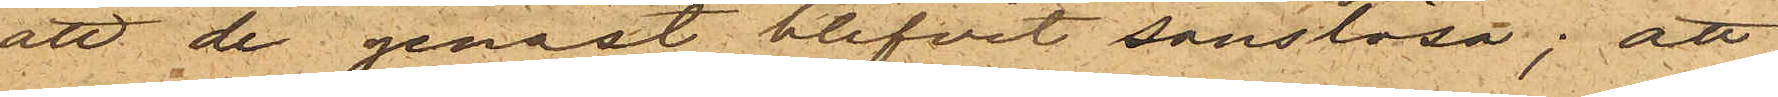att de genast blifvit sanslösa; att
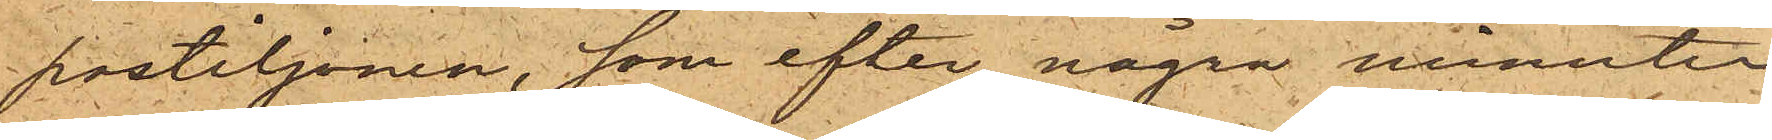postiljonen, som efter några minuter
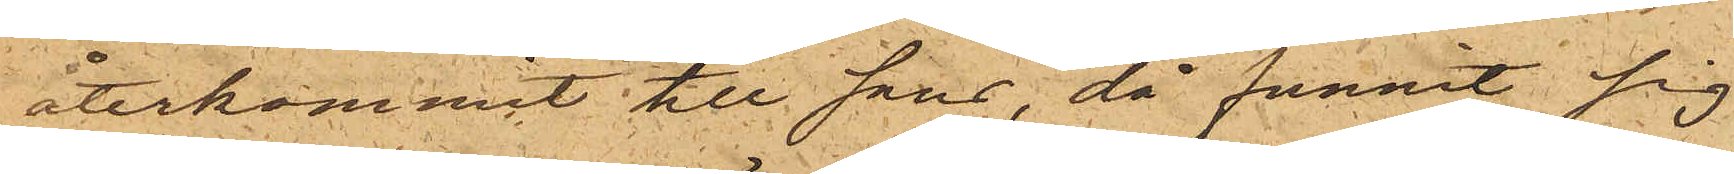återkommit till sans, då funnit sig
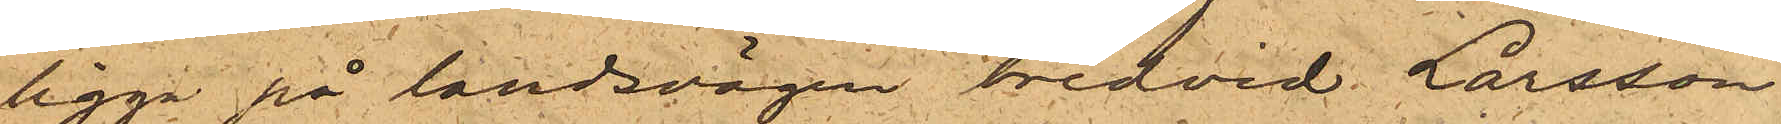ligga på landsvägen bredvid Larsson
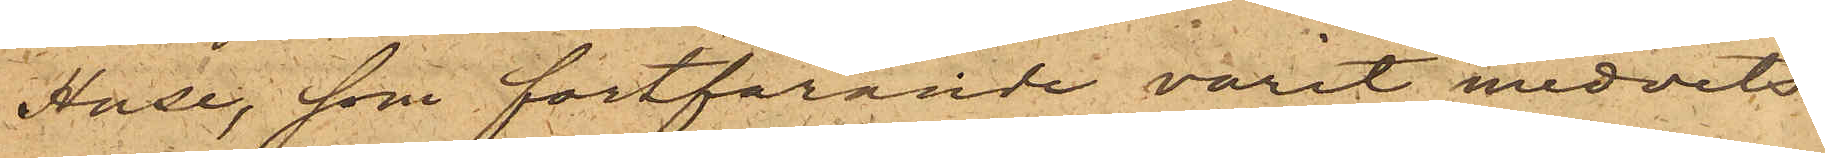Huse, som fortfarande varit medvets¬
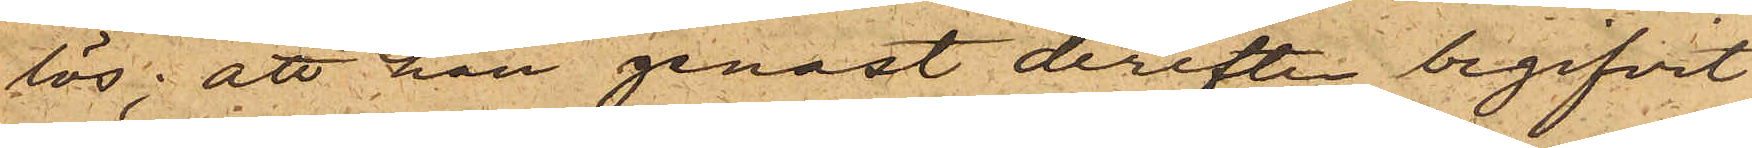lös; att han genast derefter begifvit
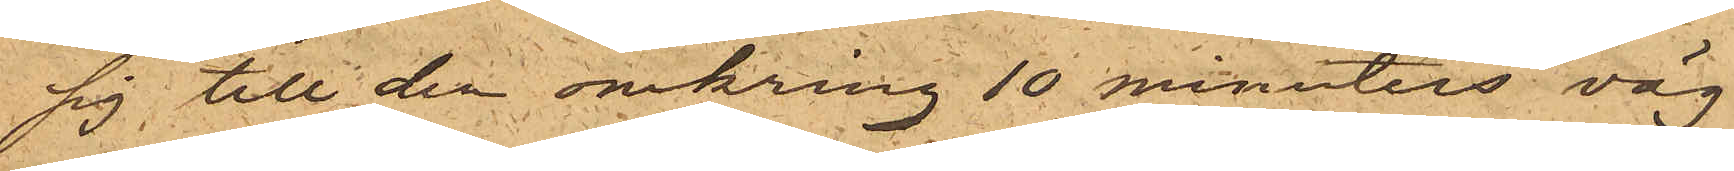sig till den omkring 10 minuters väg
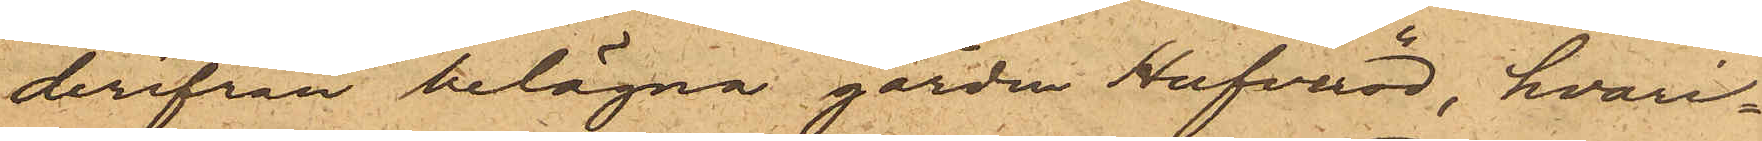derifrån belägna gården Hufveröd, hvari¬
